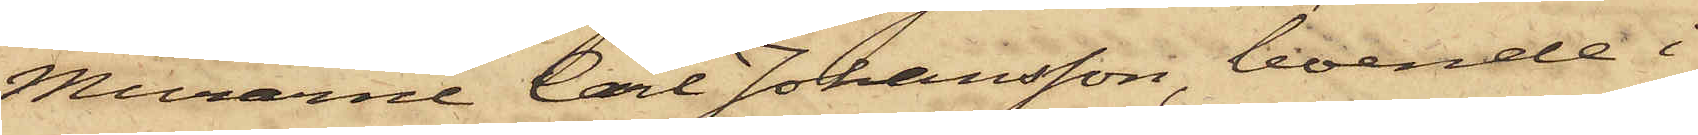Murarne Carl Johansson, boende i
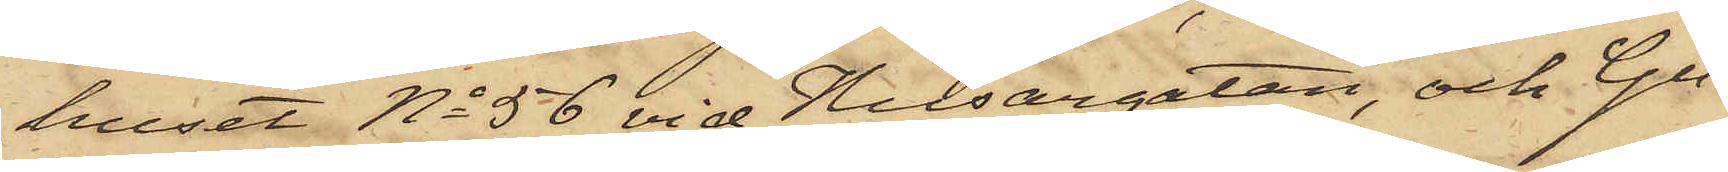huset No 56 vid Husargatan, och Gu¬
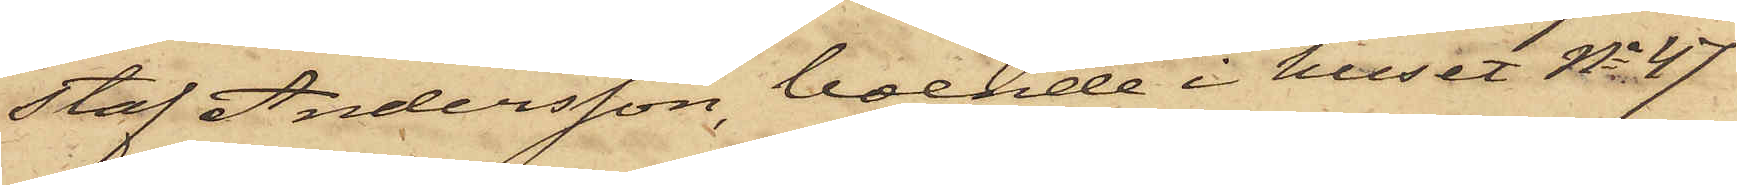staf Andersson, boende i huset No 47
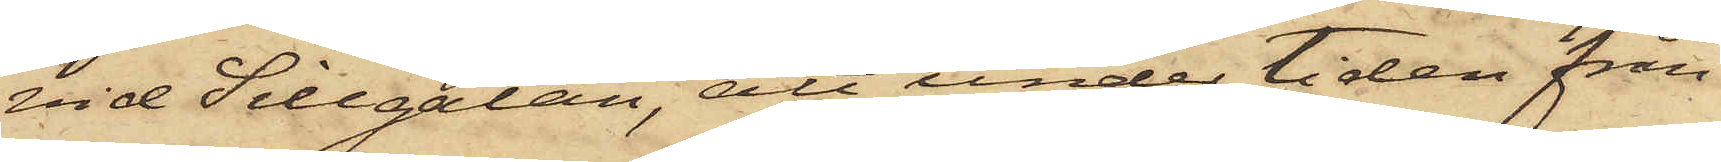vid Sillgatan, att under tiden från
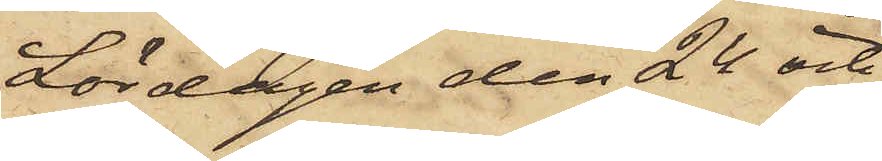Lördagen den 24 och
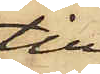till
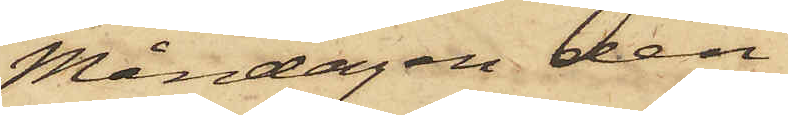Måndagen den
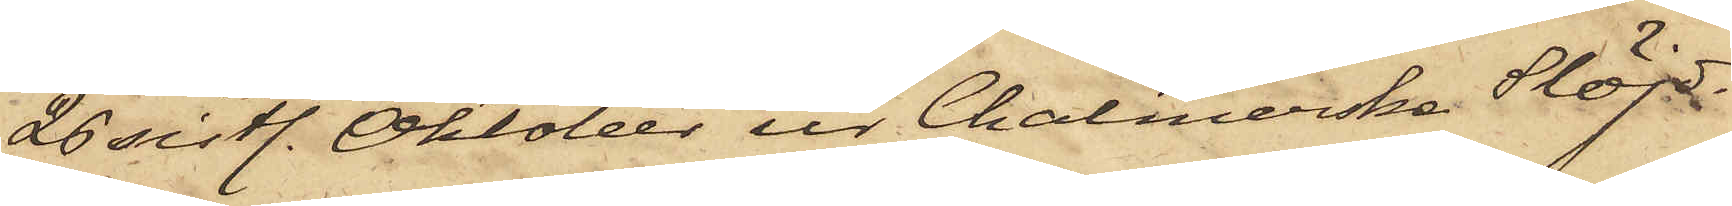26 sistl. Oktober ur Chalmerska Slöj¬
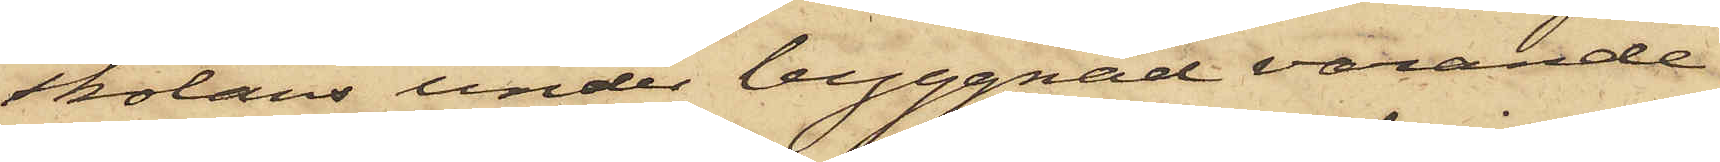skolans under byggnad varande
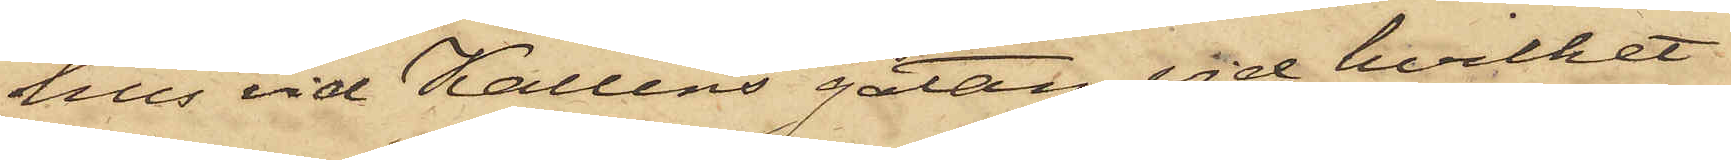hus vid Kallens gatan, vid hvilket
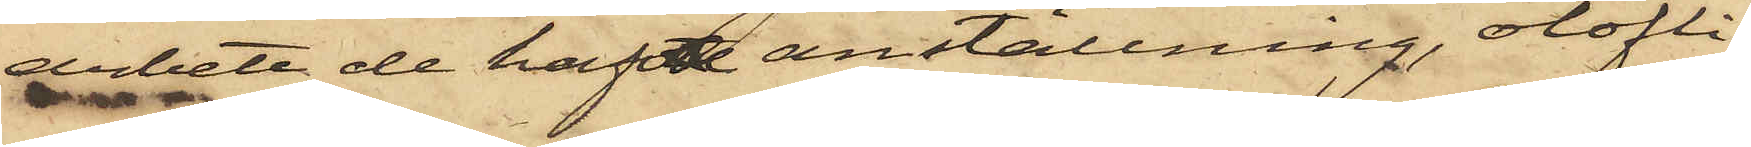arbete de haft anställning, olofli¬
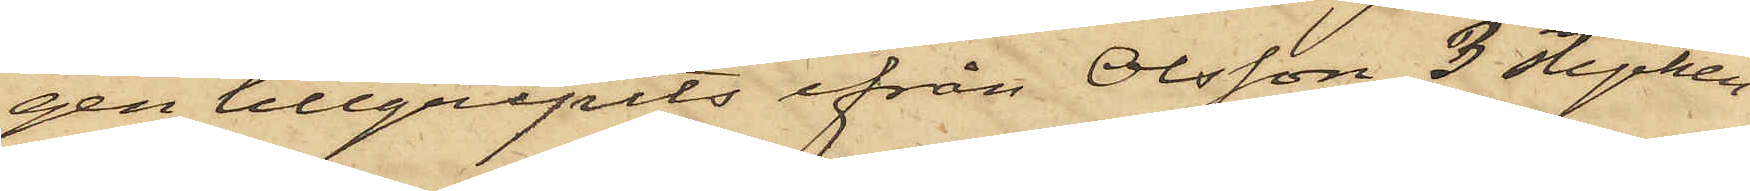gen tillgripits ifrån Olsson 3 stycken
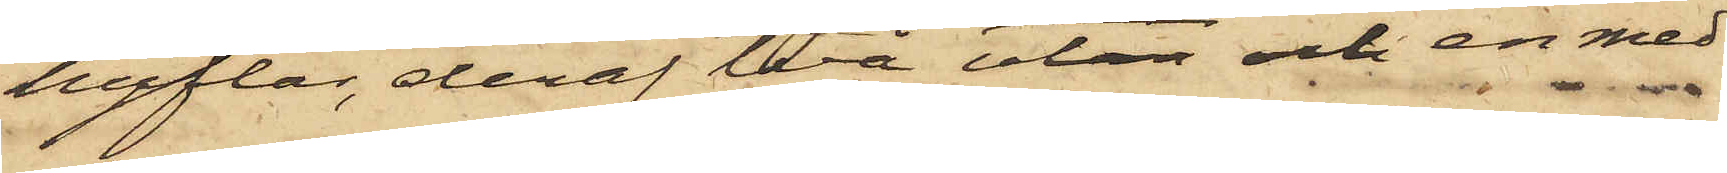hyflar, deraf två utan och en med
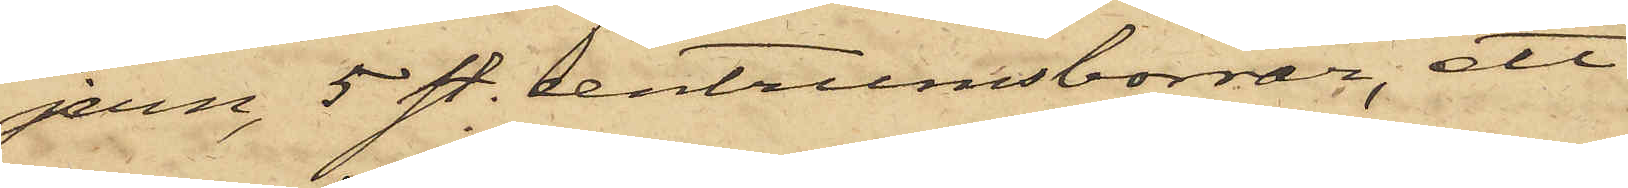jern, 5 st. centrumsborrar, ett
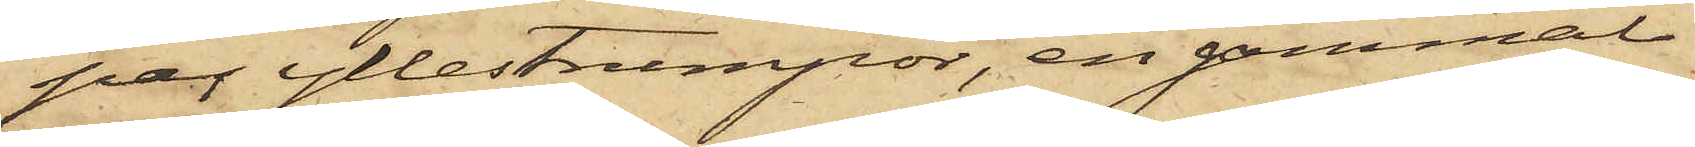par yllestrumpor, en gammal
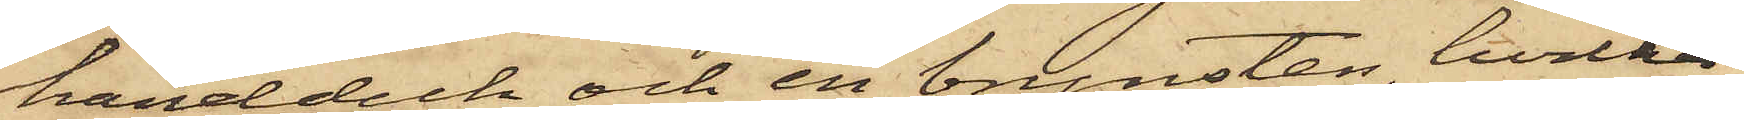handduk och en brynsten, hvilka
